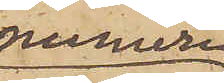numera
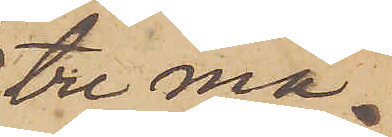tre må¬
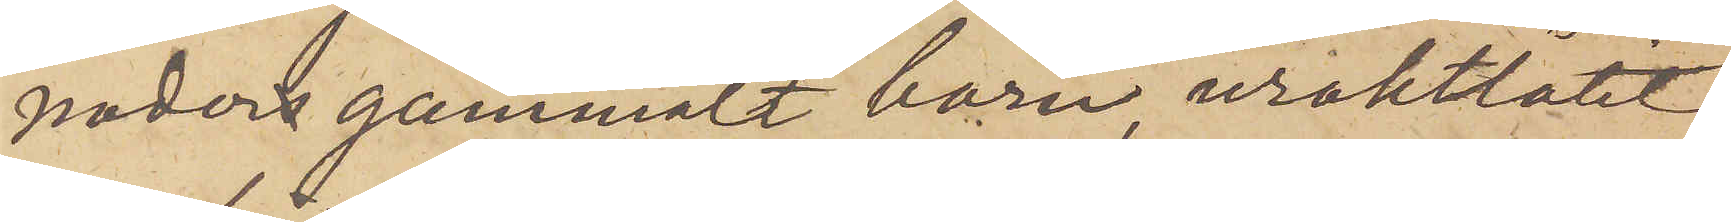naders gammalt barn, uraktlåtit
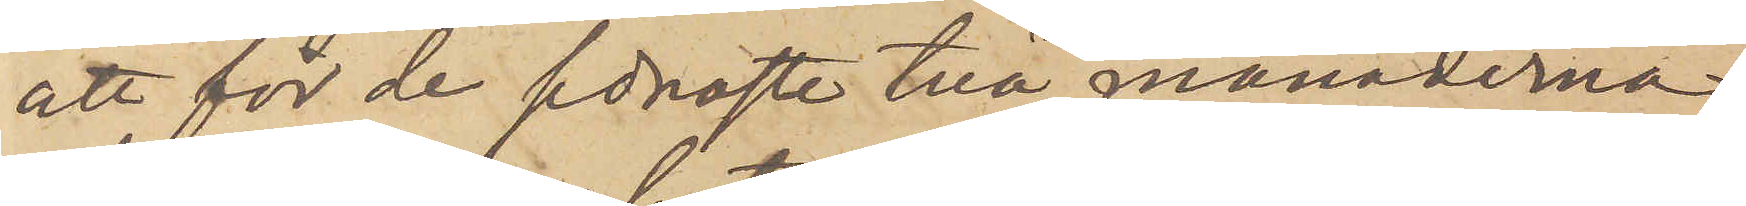att för de sednaste två månaderna
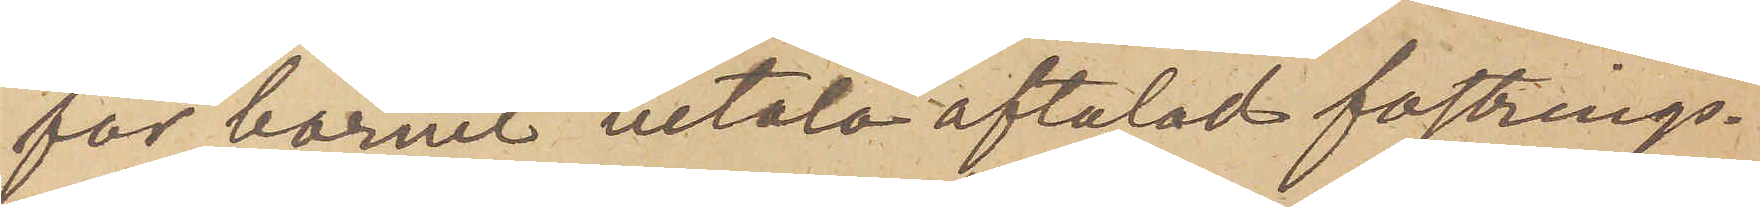för barnet betala aftalad fostrings¬
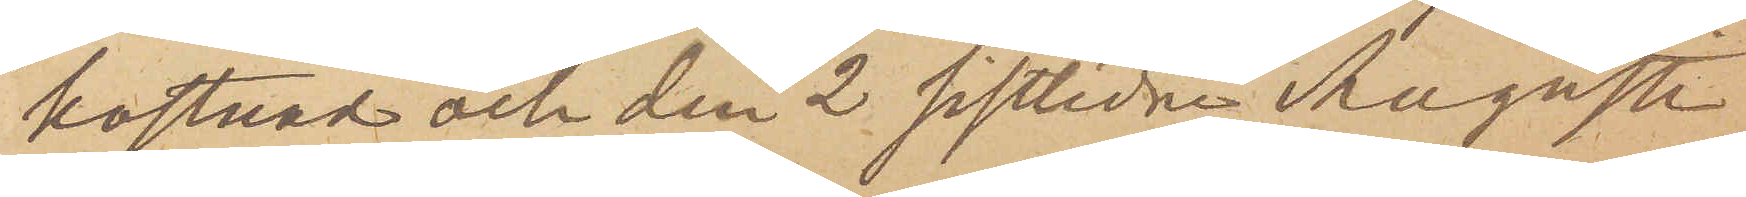kostnad och den 2 sistlidne Augusti
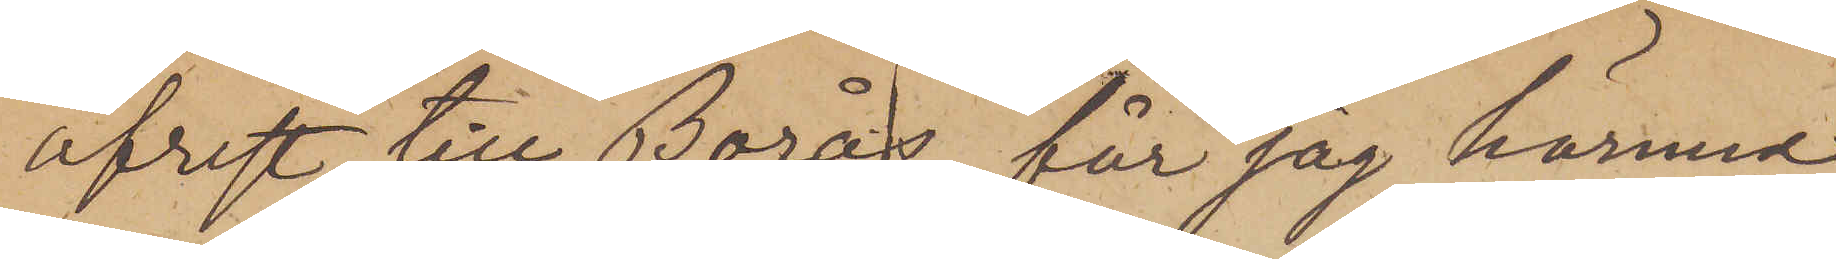afrest till Borås, får jag härmed
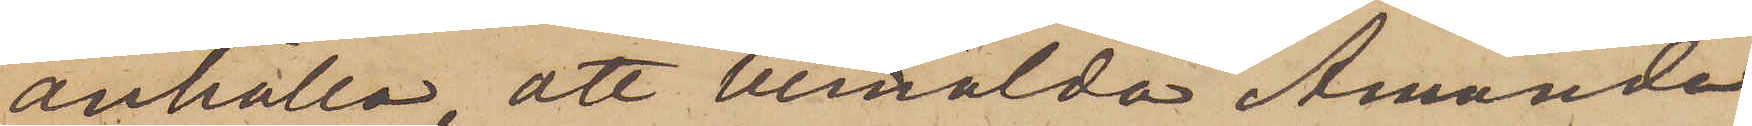anhålla, att bemälda Amanda
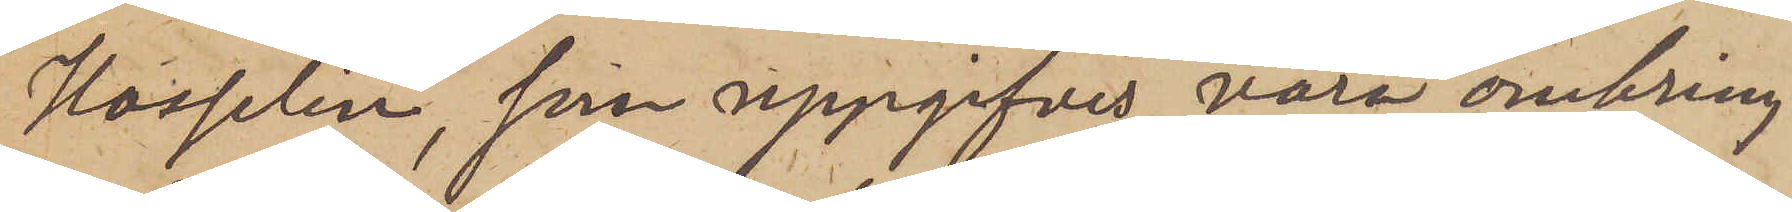Hasselin, som uppgifves vara omkring
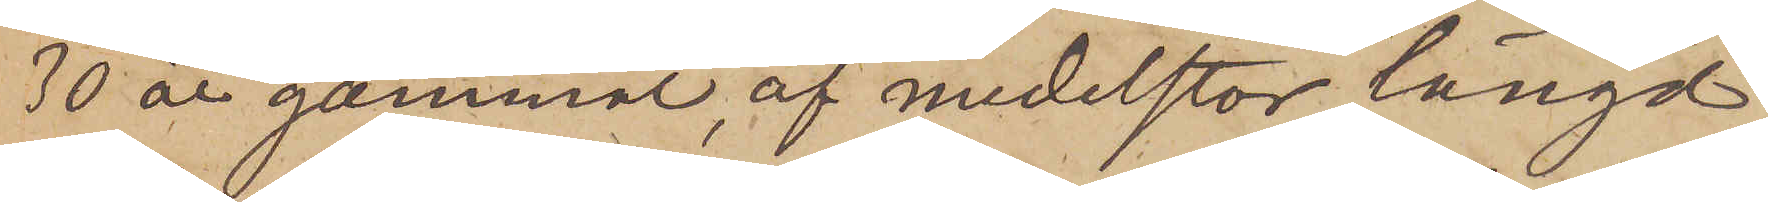30 år gammal, af medelstor längd
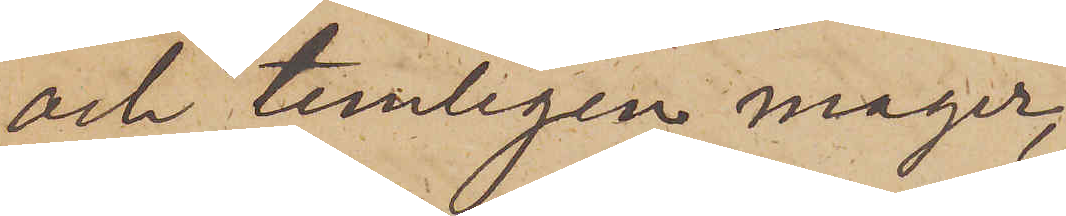och temligen mager,
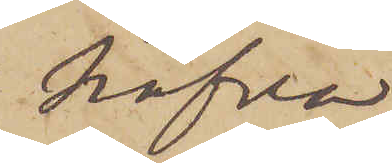hafva
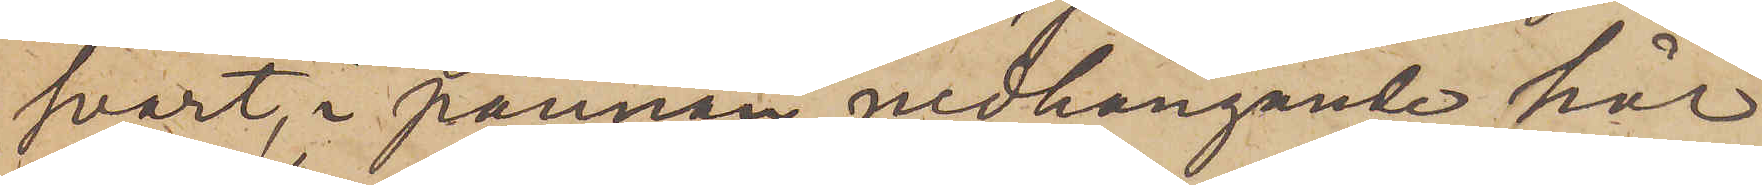svart, i pannan nedhängande hår
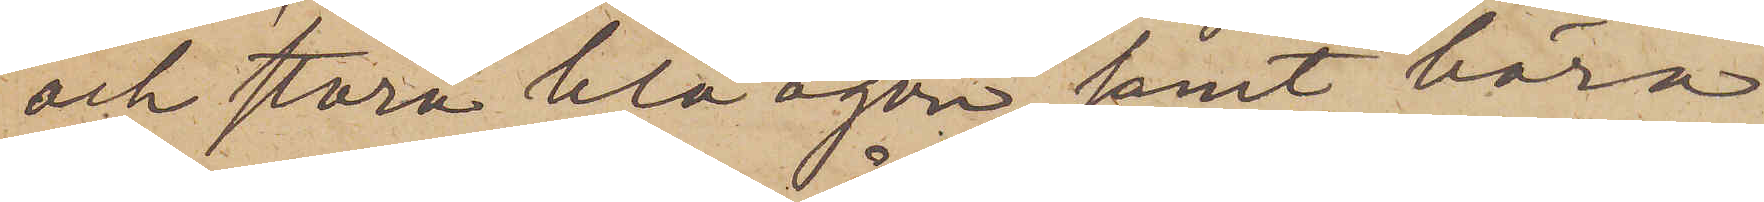och stora blå ögon samt bära
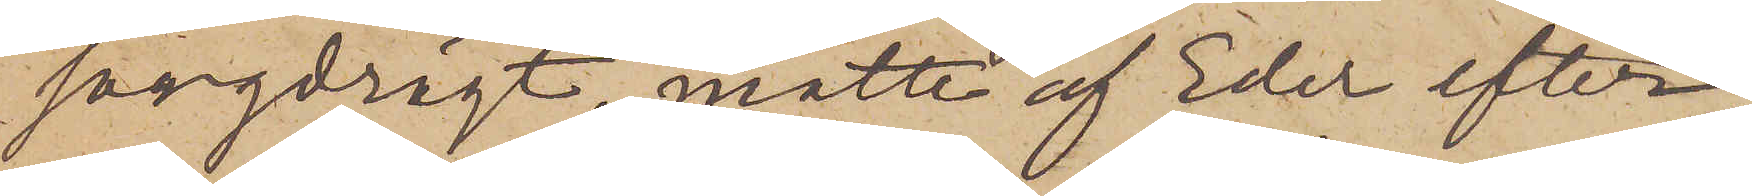sorgdrägt, måtte af Eder efter¬
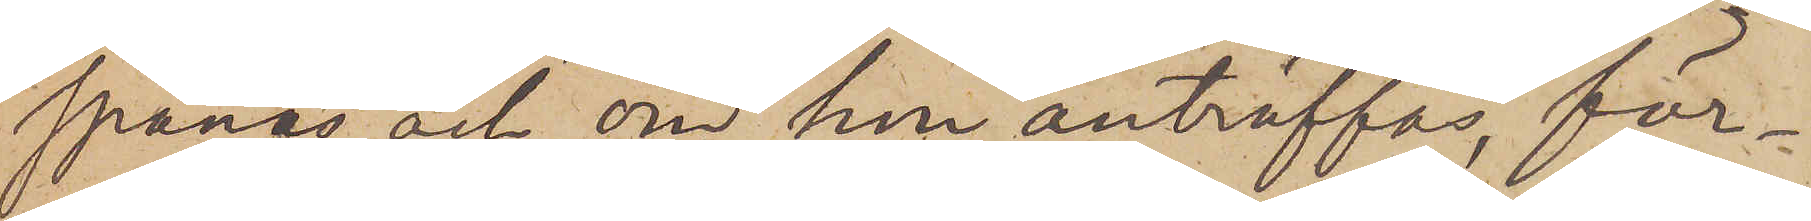spanas och, om hon anträffas, för¬
